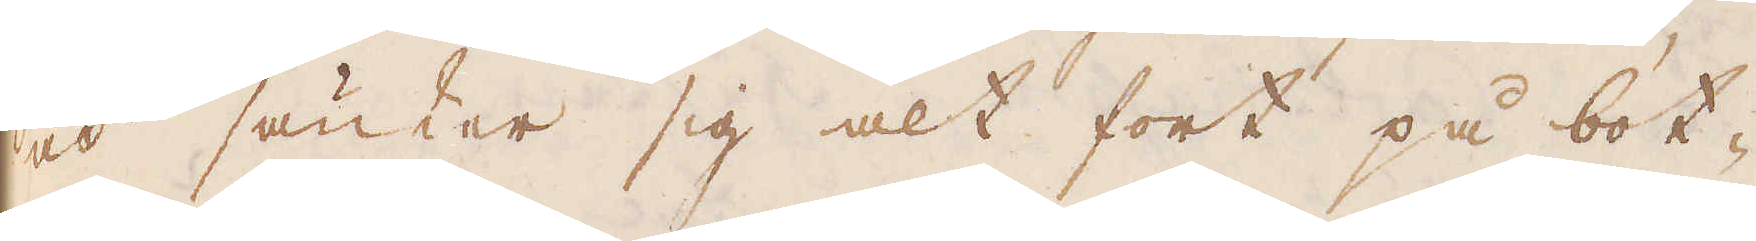och sänker sig alt fort på bot-
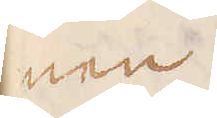nen.
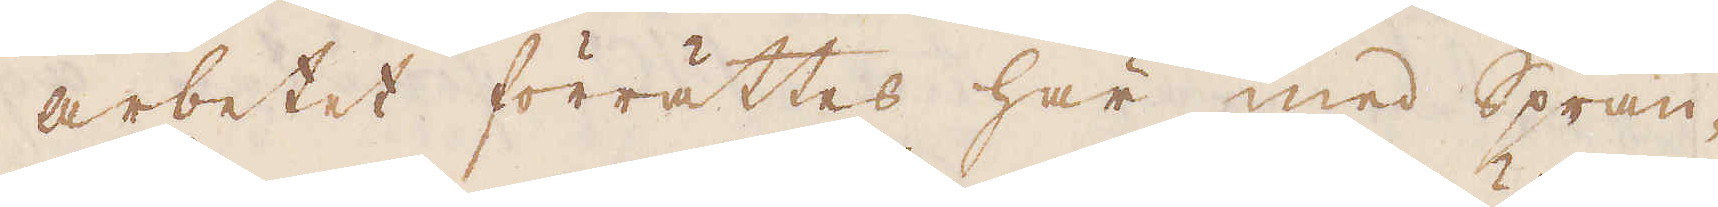Arbetet förrättes här med Sprän-
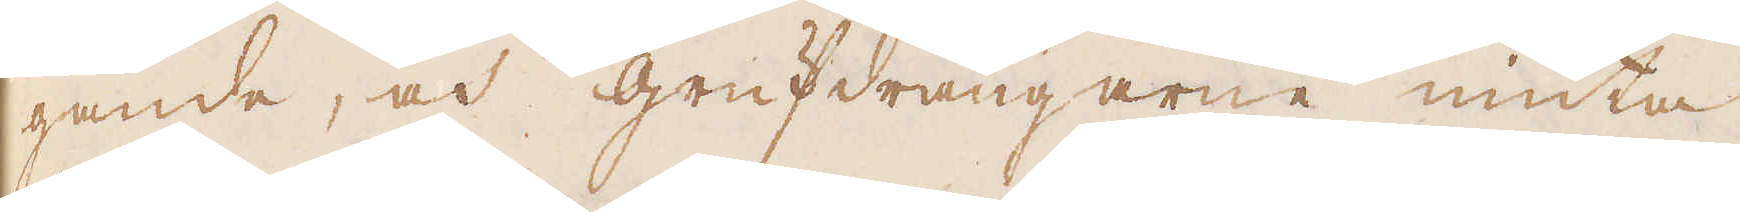gande, och grufdrängarne niuta
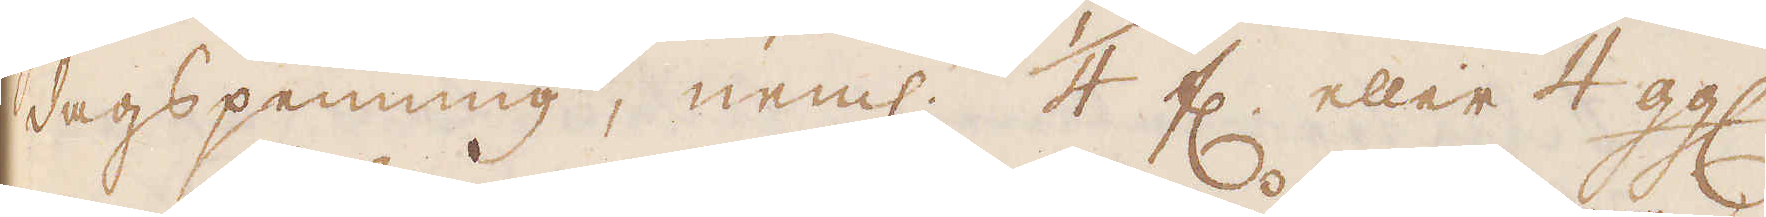dagspenning, neml. 1/4 fl. eller 4 ggl.
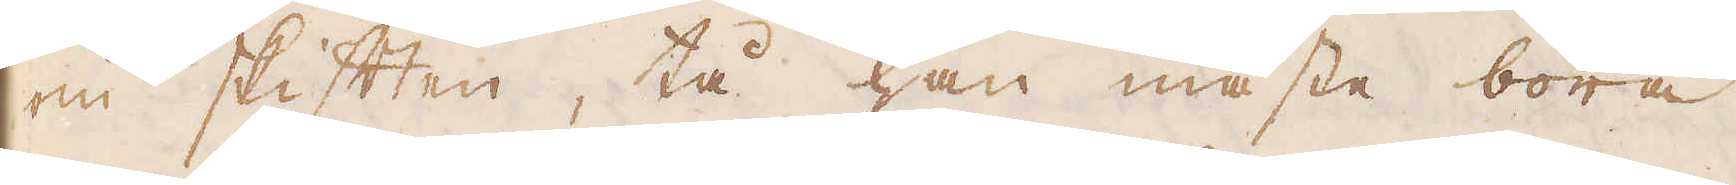om skiften, tå han måste bora
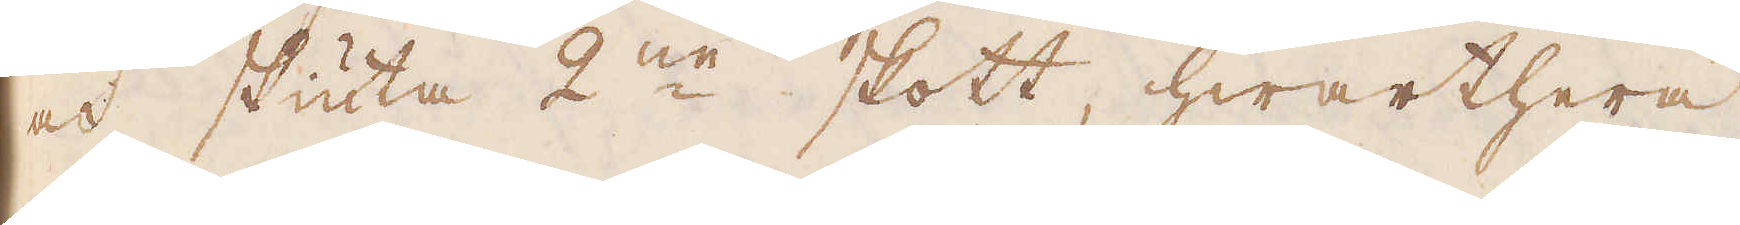och skiuta 2:ne skott, hwarthera
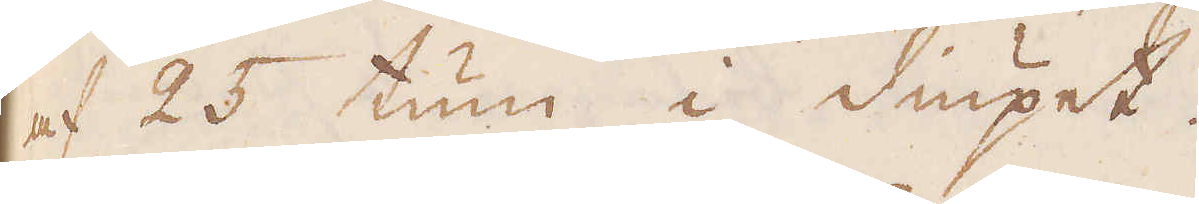af 25 tum i diupet.
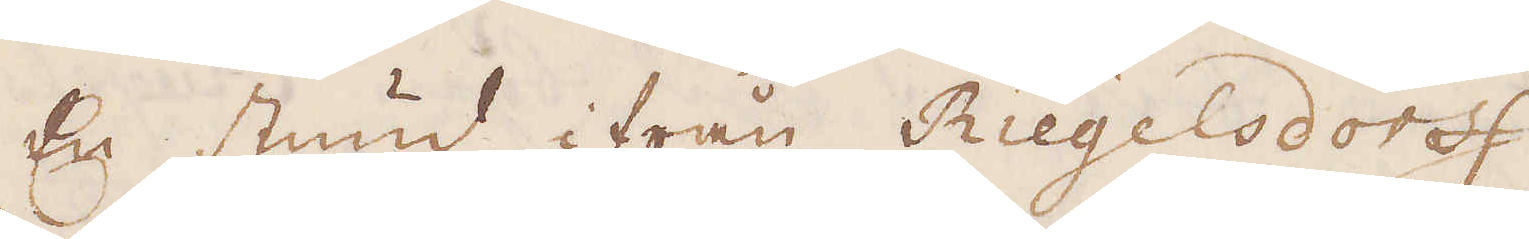En stund ifrån Riegelsdorff
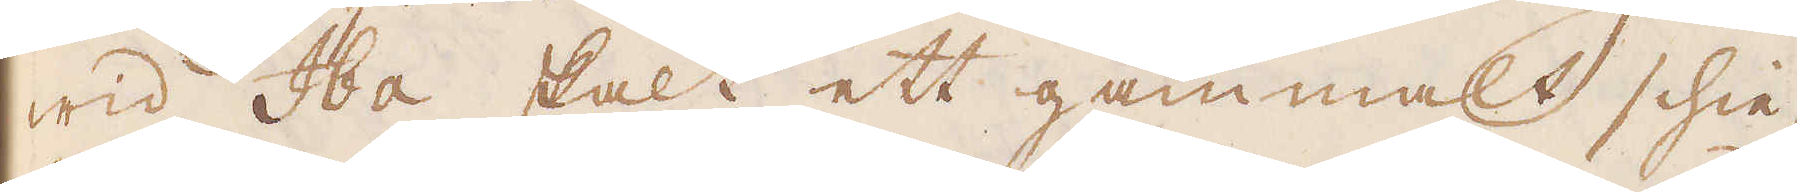wid Iba skalt ett gammalt schie-
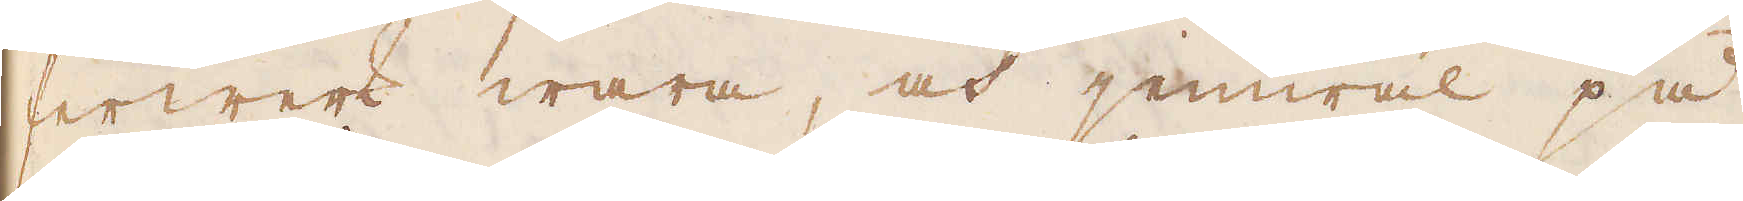ferwerk wara, och jemwäl på
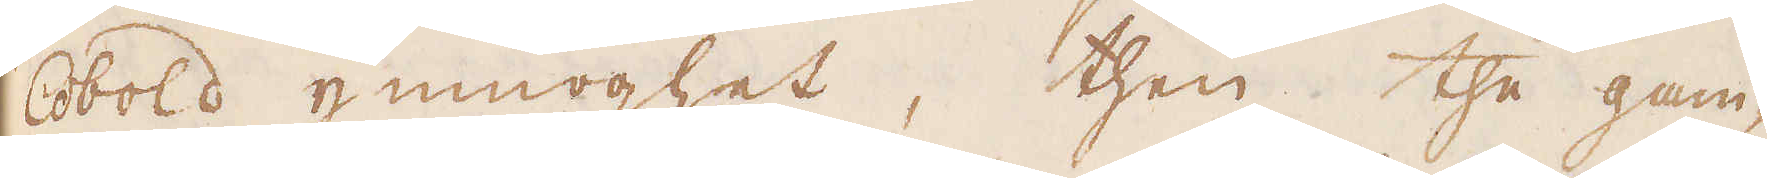Cobold ymnoghet, then the gam-
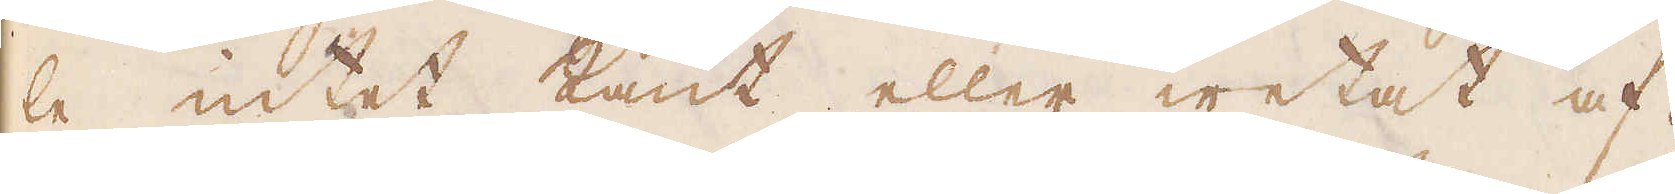le intet känt eller wetat af.
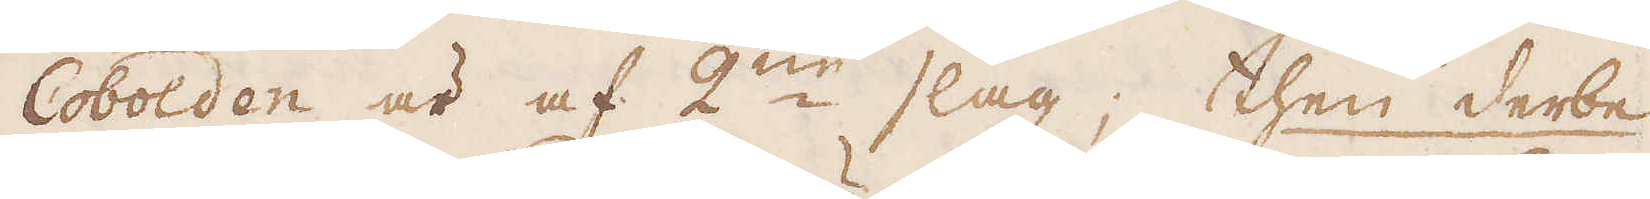Cobolden är af 2:ne slag; then derbe
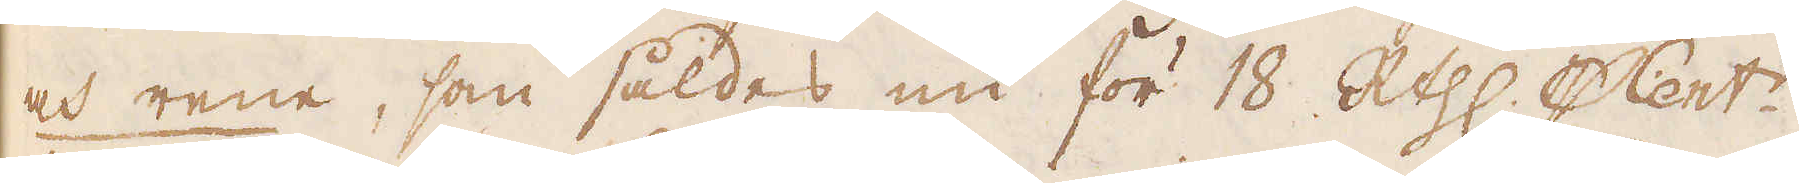och rene, som såldes nu för 18 R:thl p Cent:r;
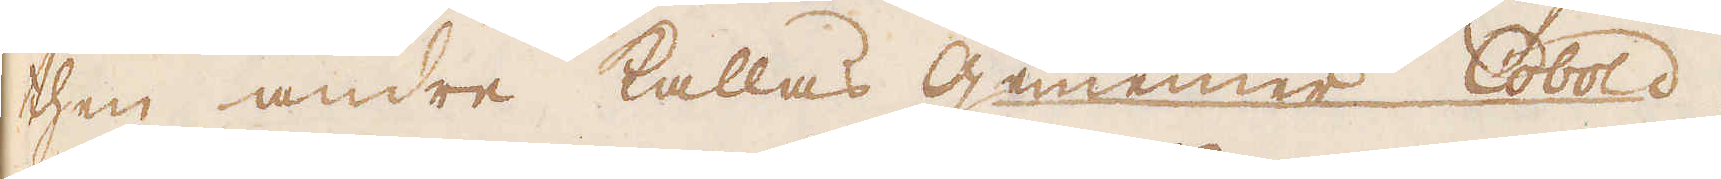then andre kallas Gemeiner Cobold,
